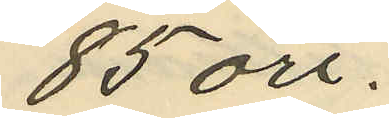85 öre.
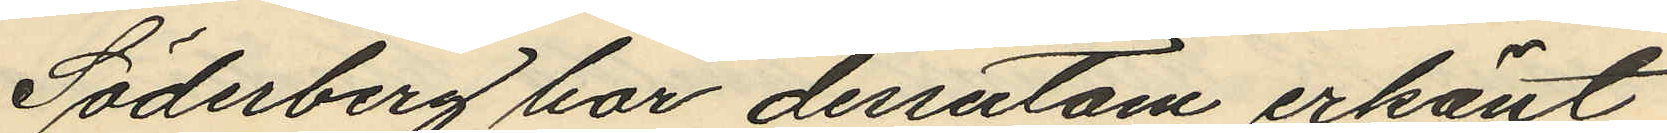Söderberg har dessutom erkänt
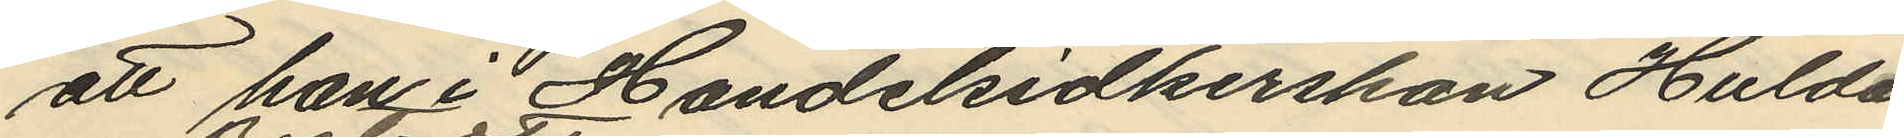att han i Handelsidkerskan Hulda
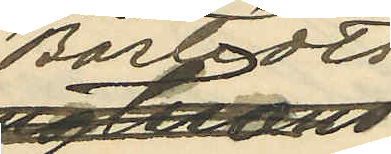Bostedts
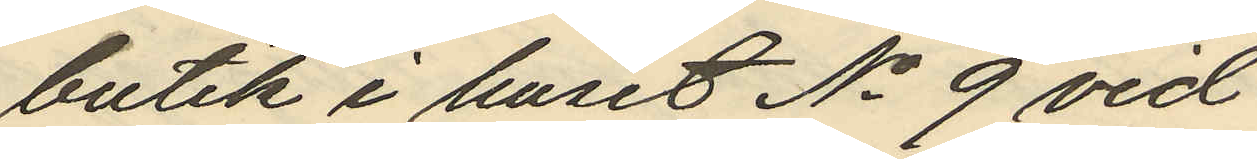butik i huset No 9 vid
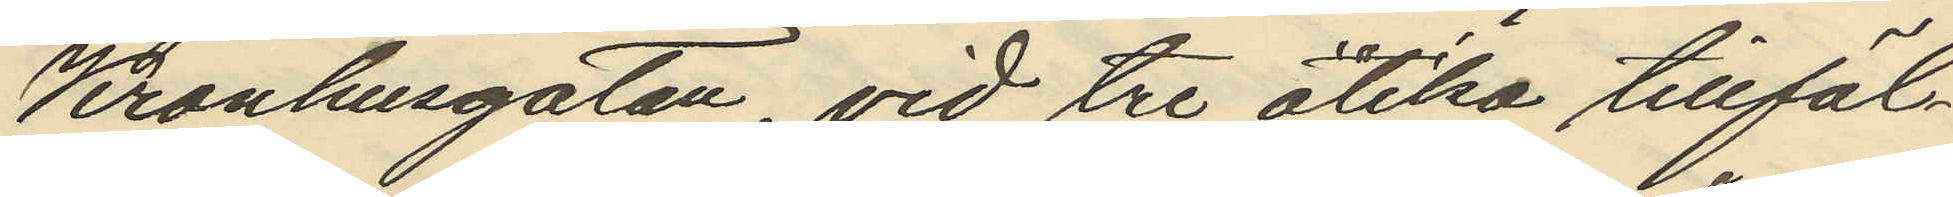Kronhusgatan, vid tre olika tillfäl¬
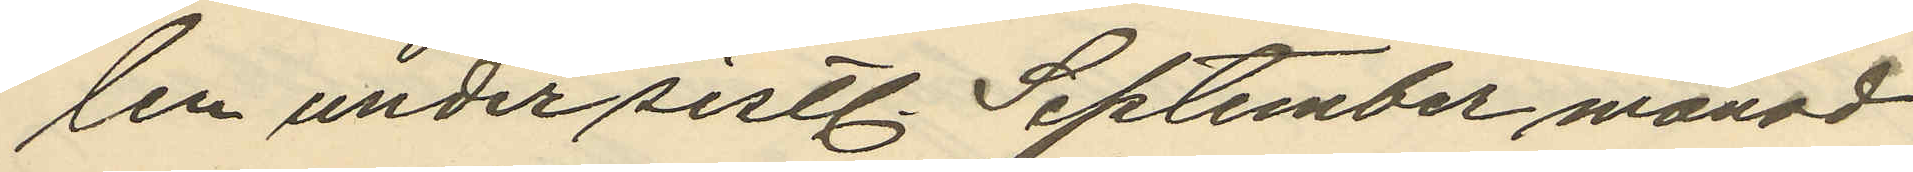len under sistl. September månad
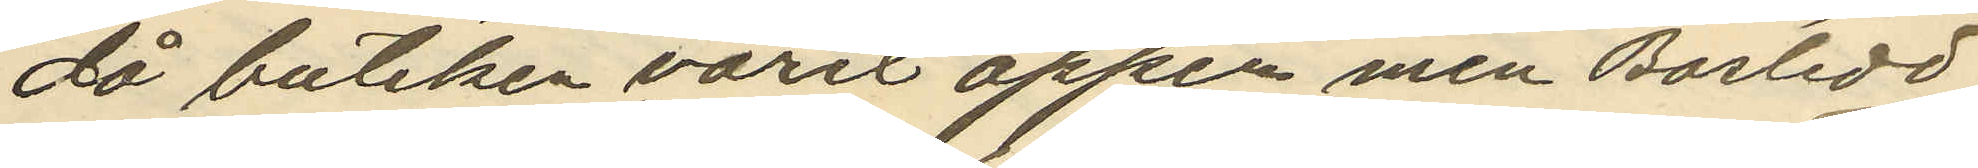då butiken varit öppen men Bostedt
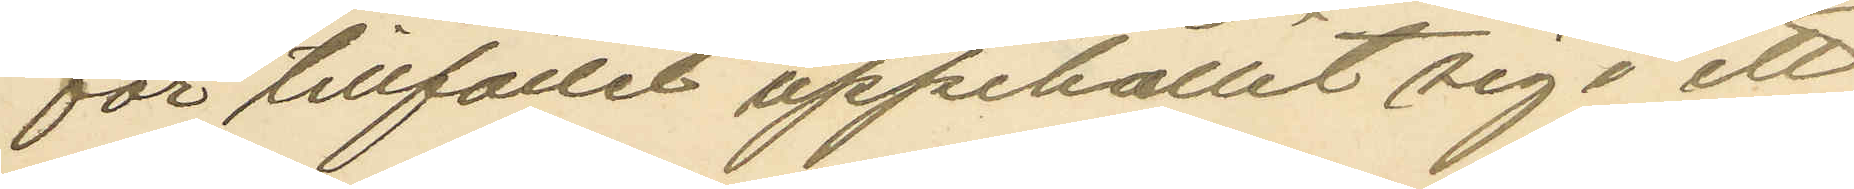för tillfället uppehållit sig i ett
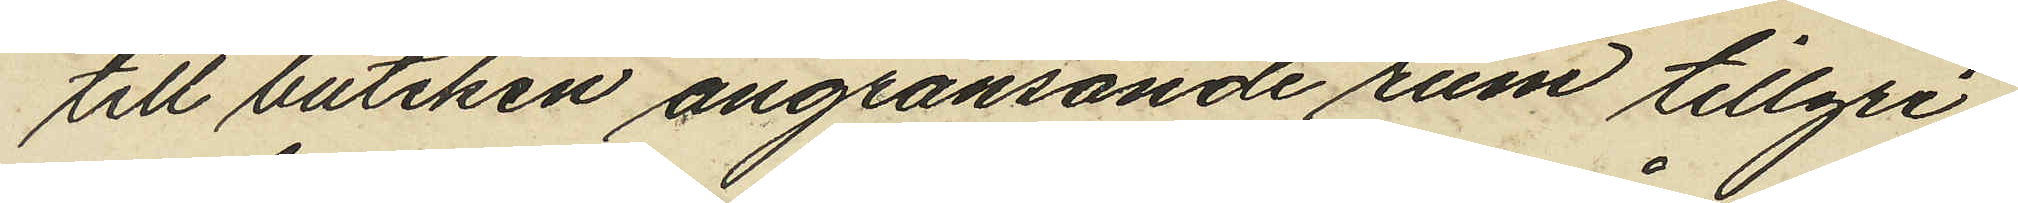till butiken angränsande rum tillgri¬
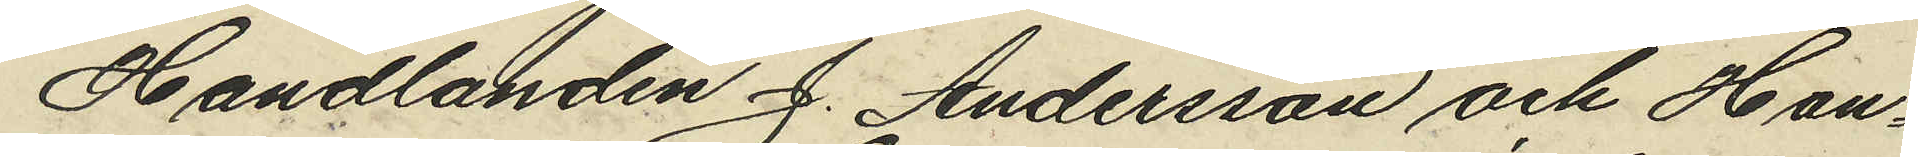Handlanden J. Andersson och Han¬
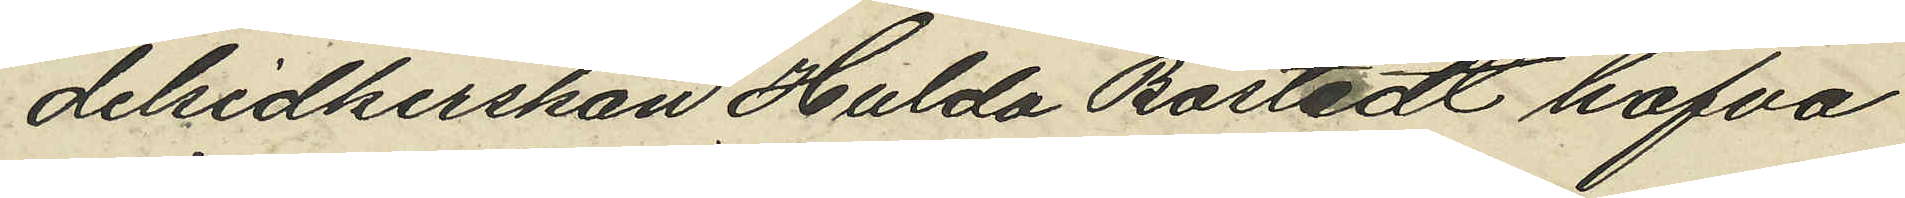delsidkerskan Hulda Bostedt hafva
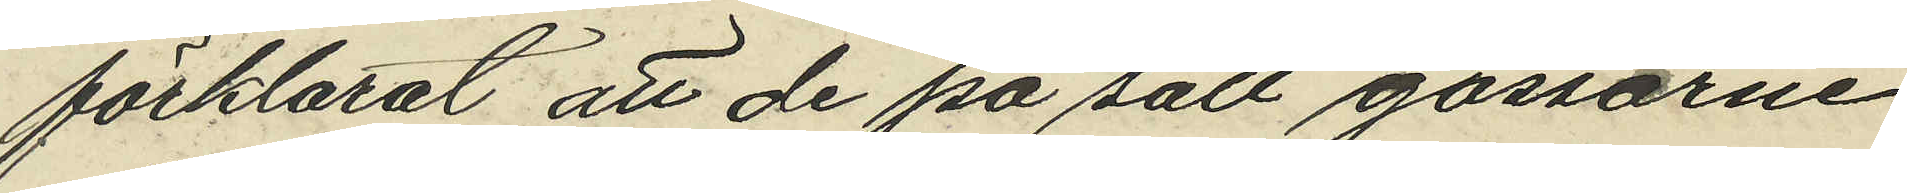förklarat att de på sätt gossarne
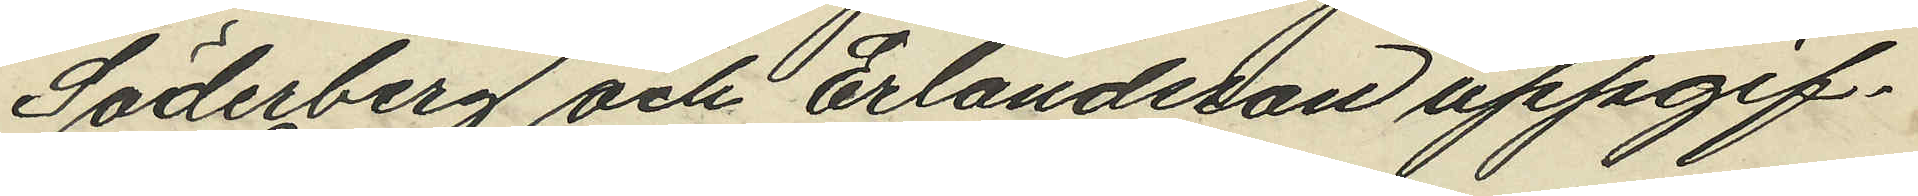Söderberg och Erlandsson uppgif¬
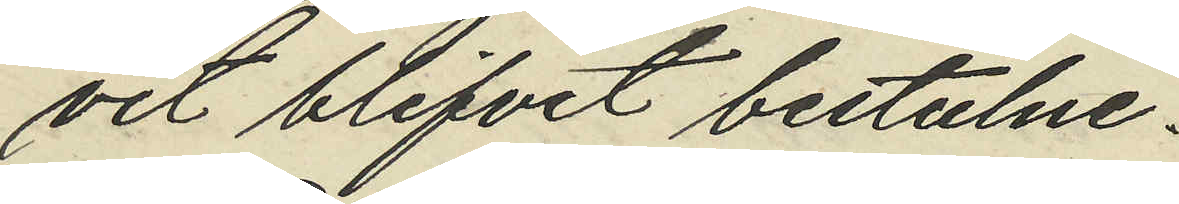vit blifvit bestulne.
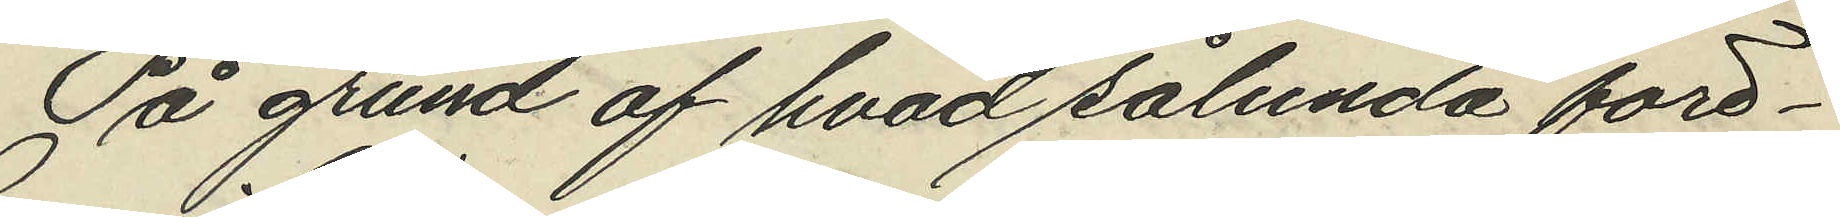På grund af hvad sålunda före¬
